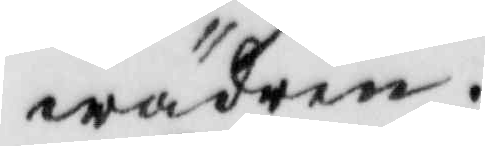wäder.
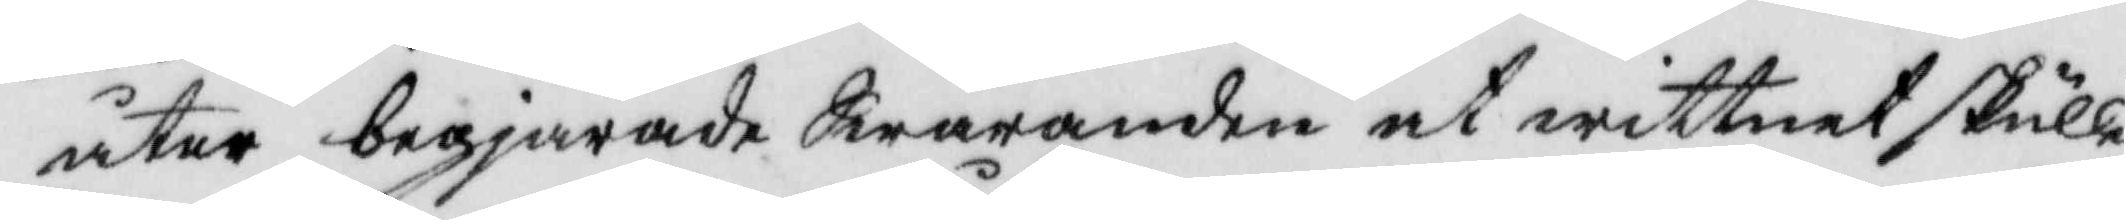åter begjärade Swaranden at wittnet skulle
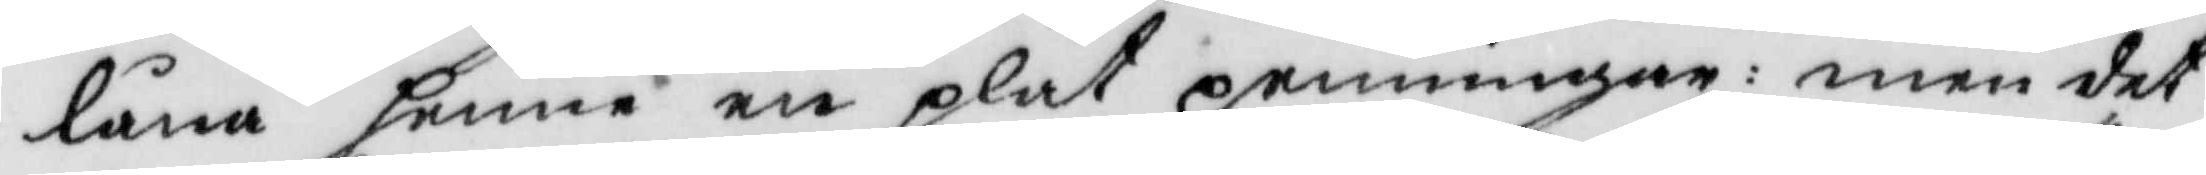låna henne en plåt penningar: men det¬
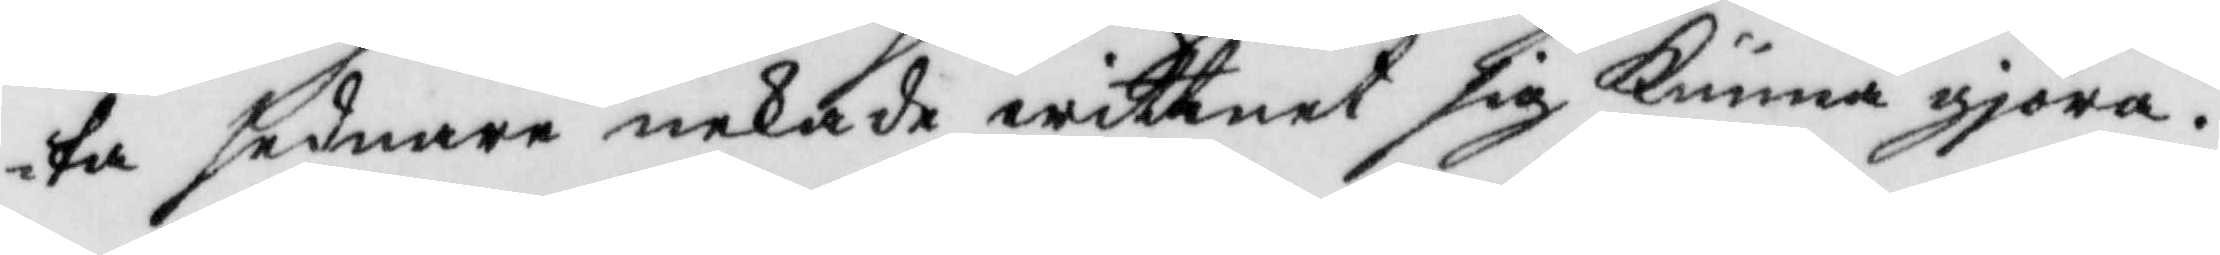ta sednare nekade wittnet sig kunna gjöra.
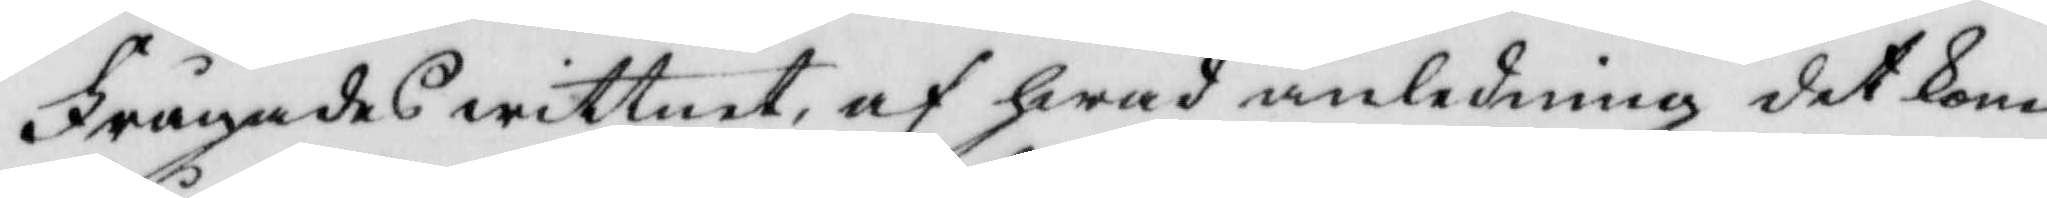Frågades wittnet, af hwad anledning det kom
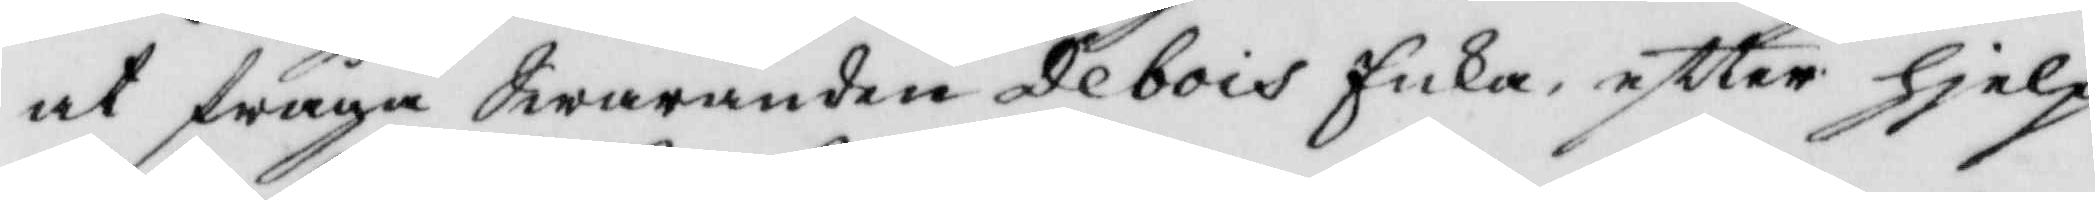at fråga Swaranden Vebois Enka, eftter hjelp
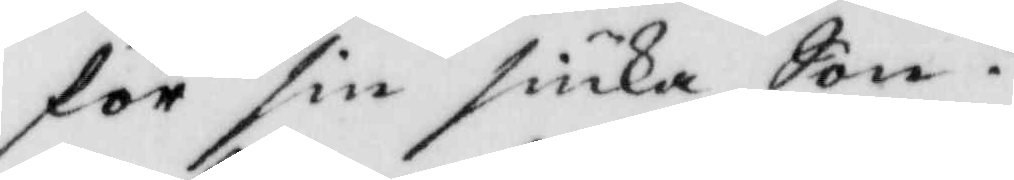för sin siuka Son?
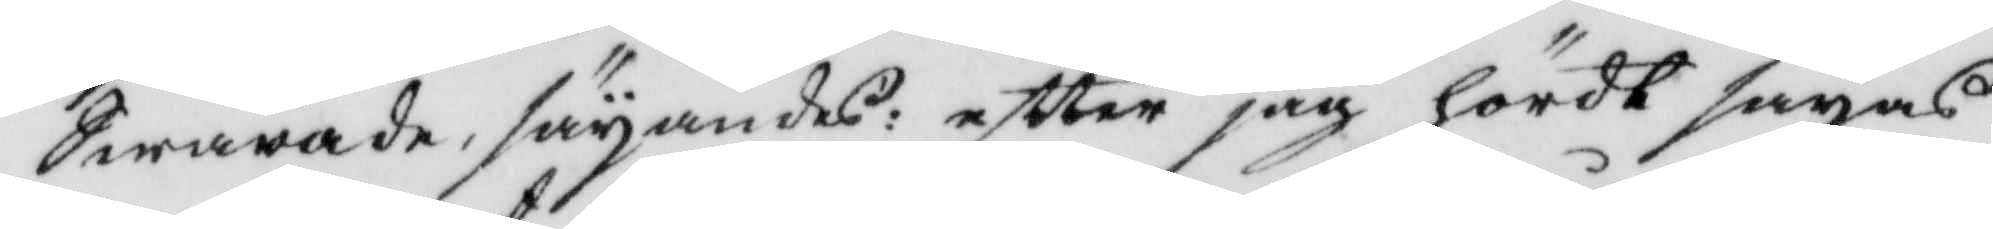Swarade, säyandes: eftter hag hört säyas
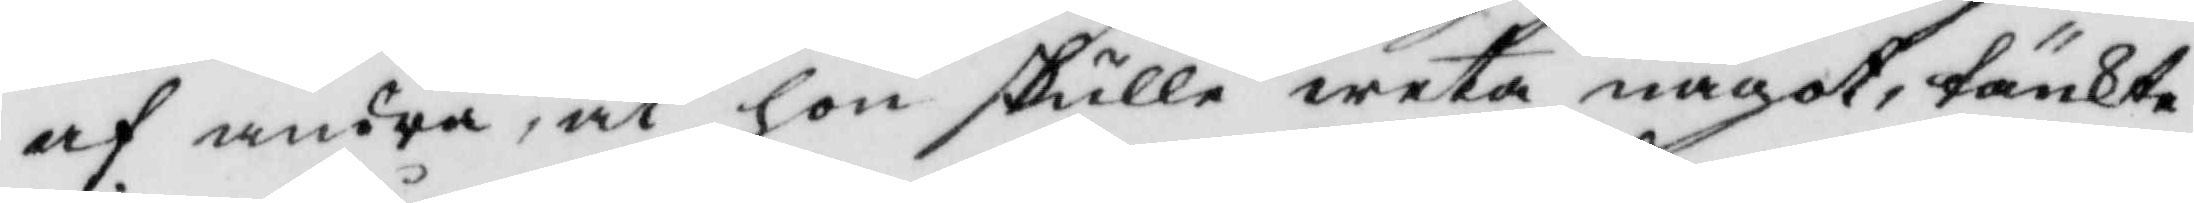af andra, at hon skulle weta något, tänkte
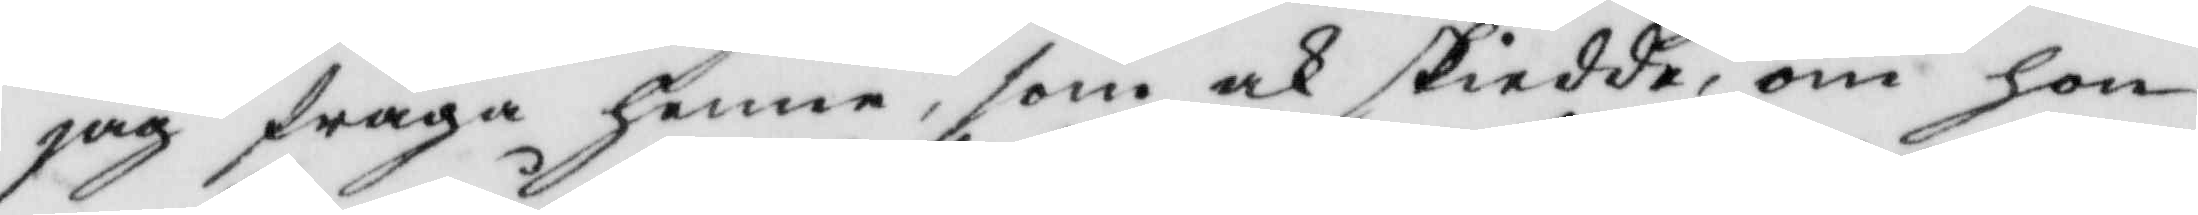jag fråga henne, som och skiedde, om hon
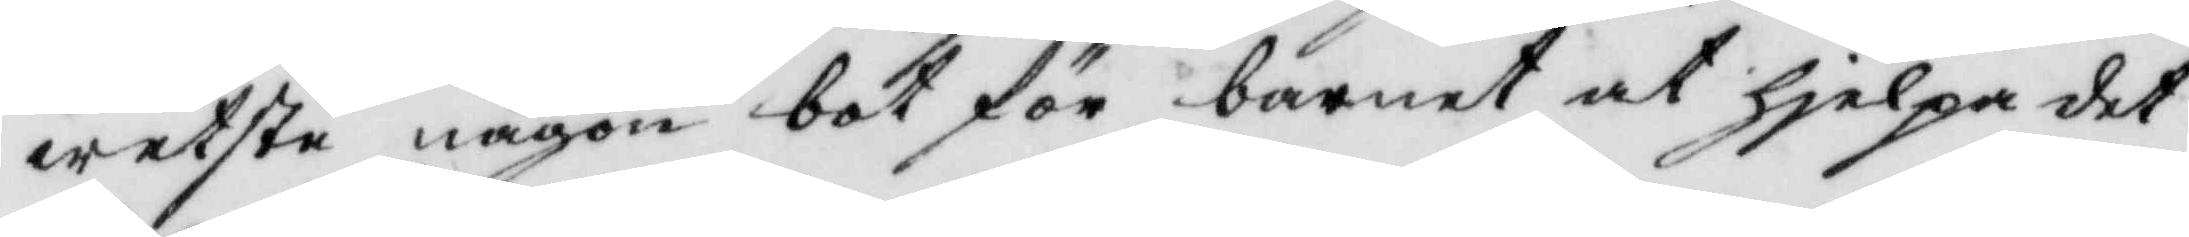weste någon bot för barnet at hielpa det
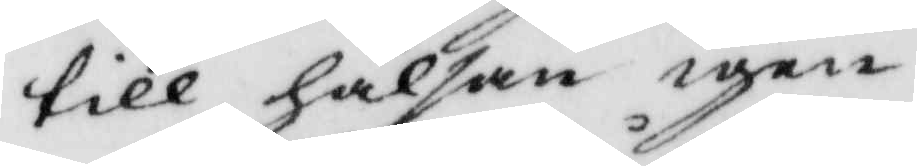till hälsan igen.
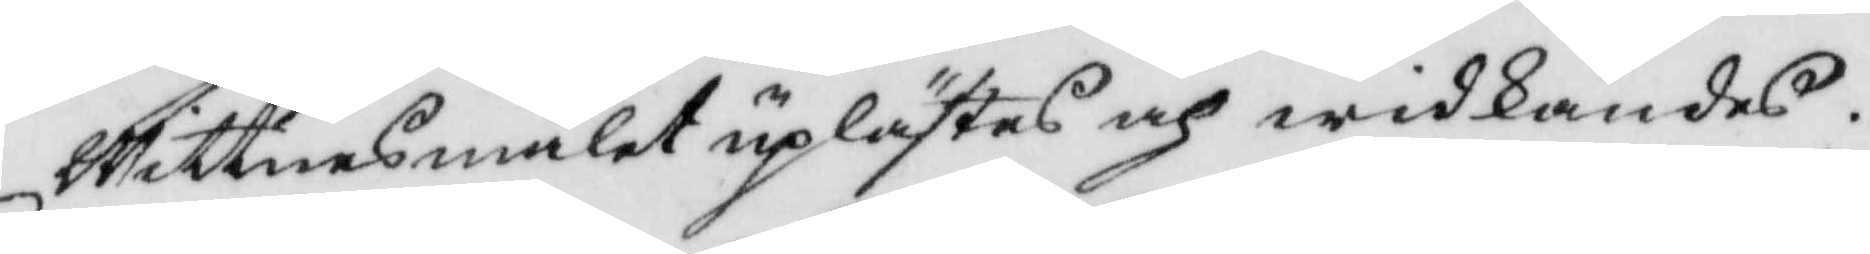Wittnesmålet uplästes och widkändes.
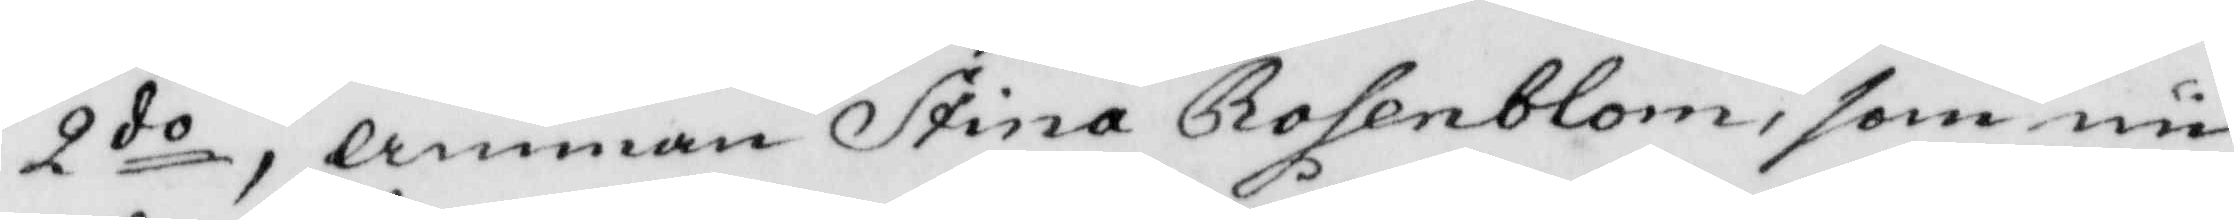2do, amman Stina Rosenblom, som nu
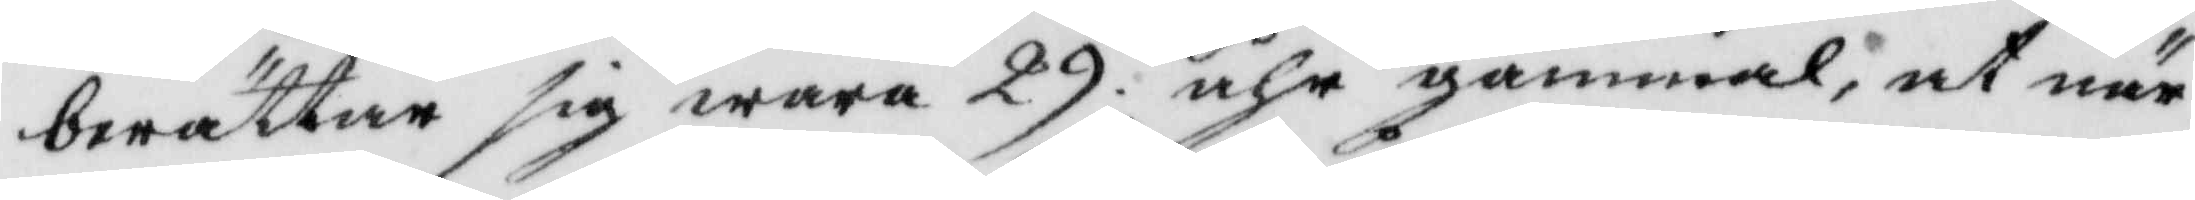berättar sig wara 29 åhr gammal, at när
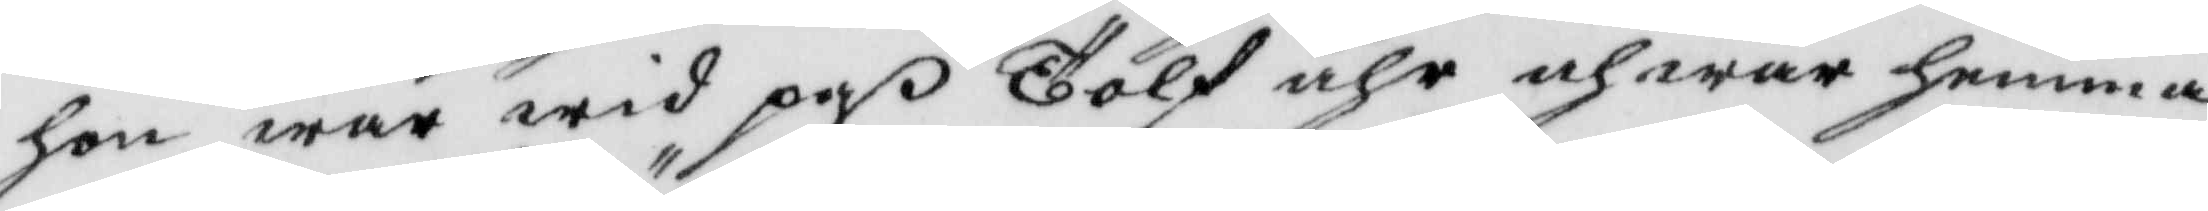hon war wid paß Tolf åhr och war hemma
